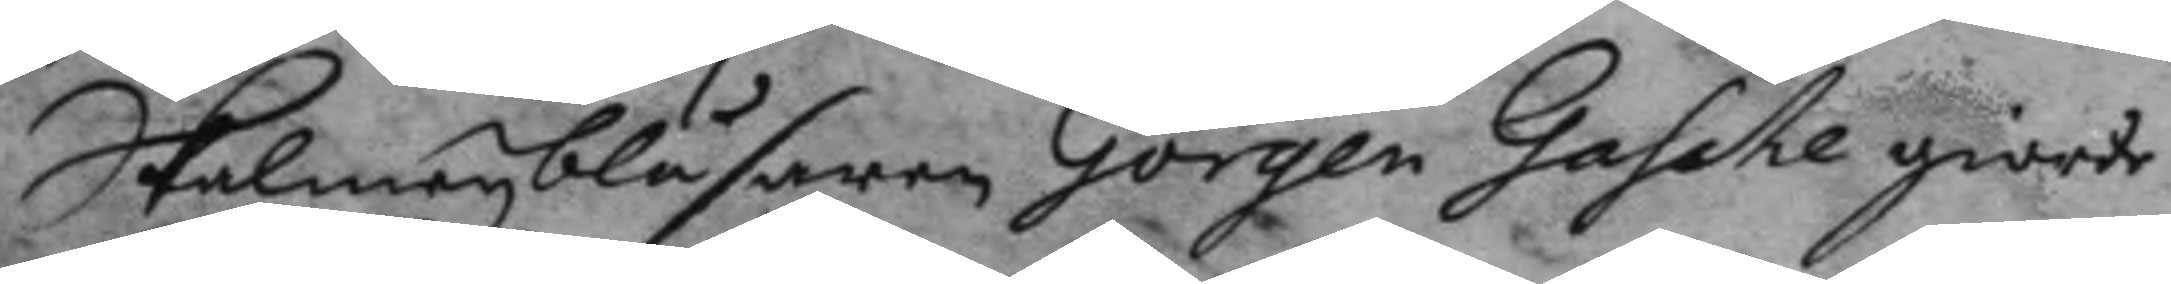Skalmeyblåsaren Görgen Gasche giorde
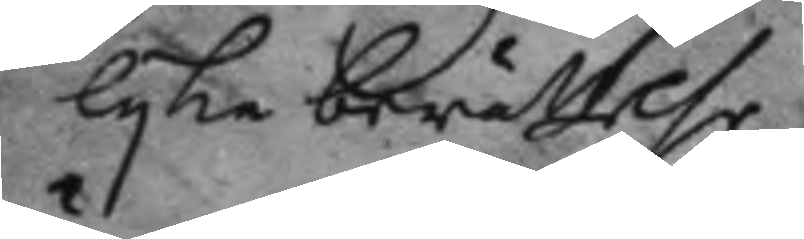lyka berättelse.
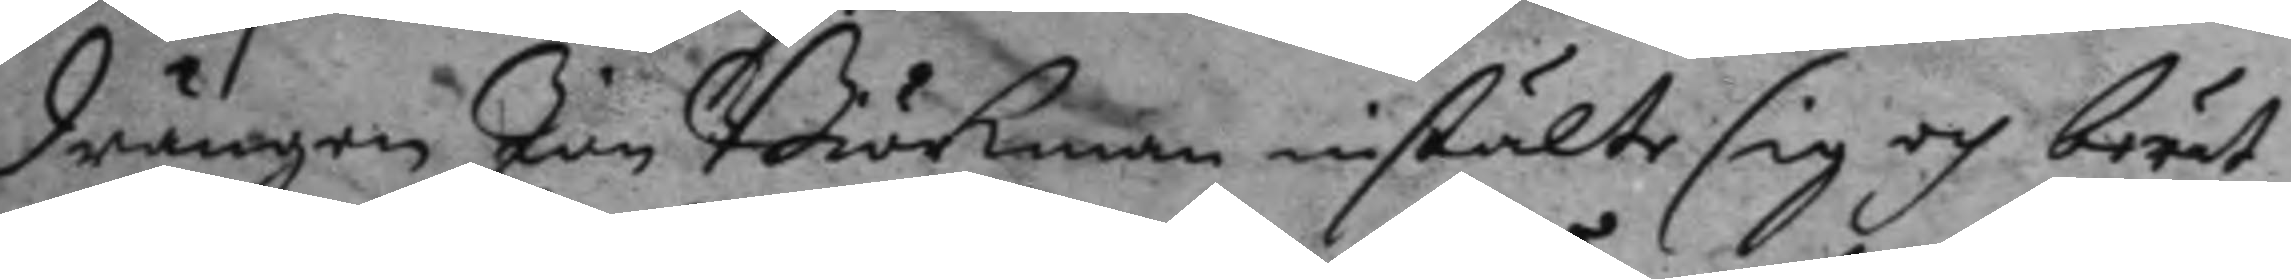Drängen Jan Biörkman instälte sig och berät¬
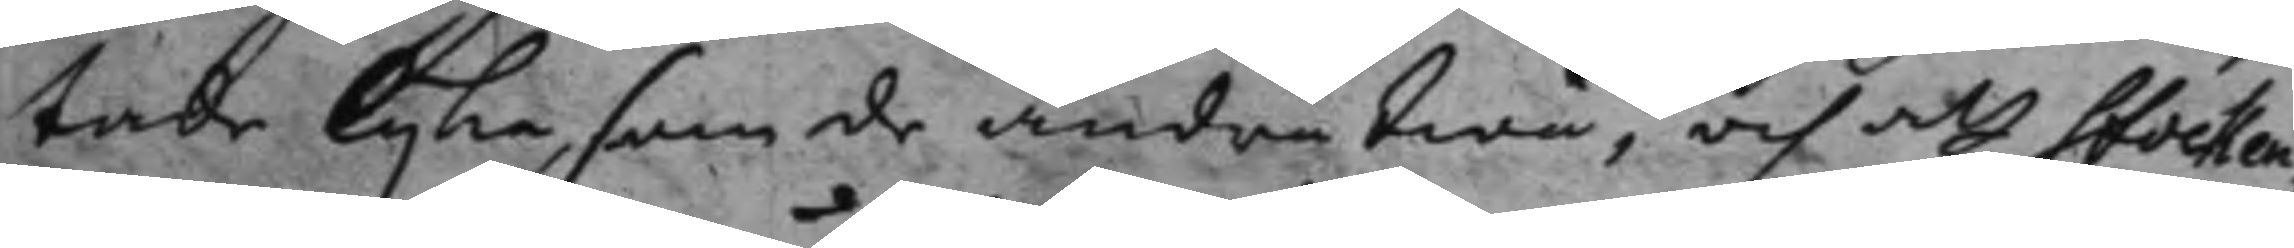tade lyka som de andra twå, och att Stocken¬
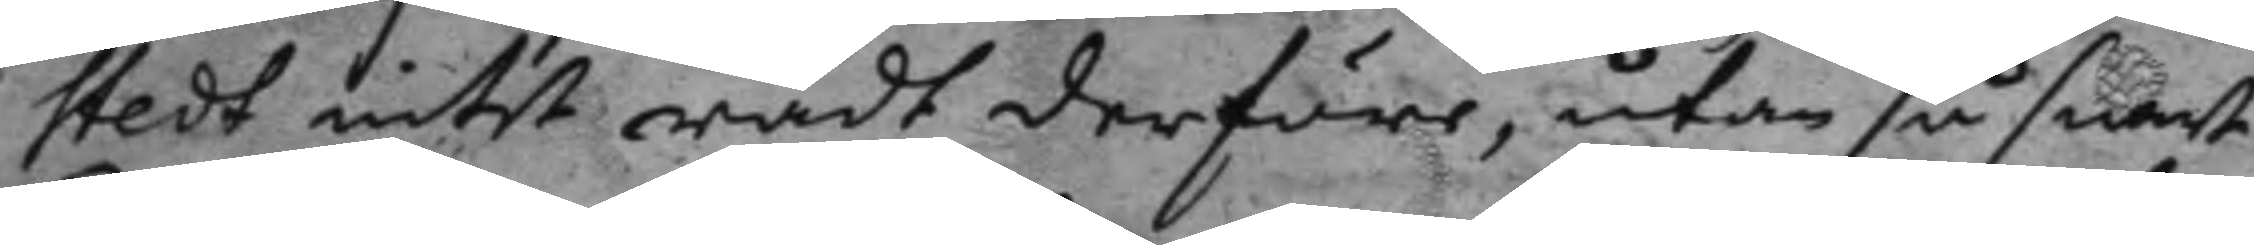stedt intet rådt derföre, utan så snart
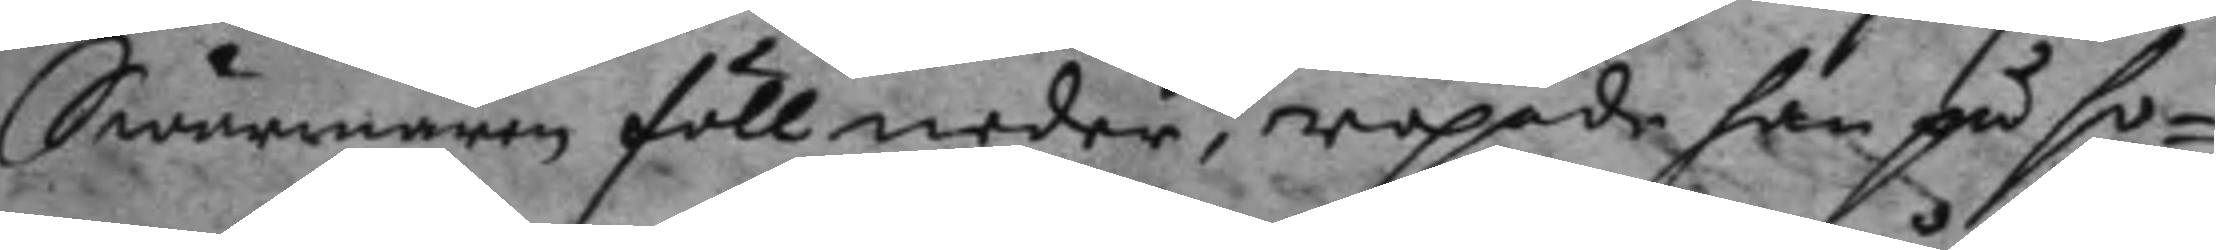Swärmaren föll neder, ropade han på ho¬
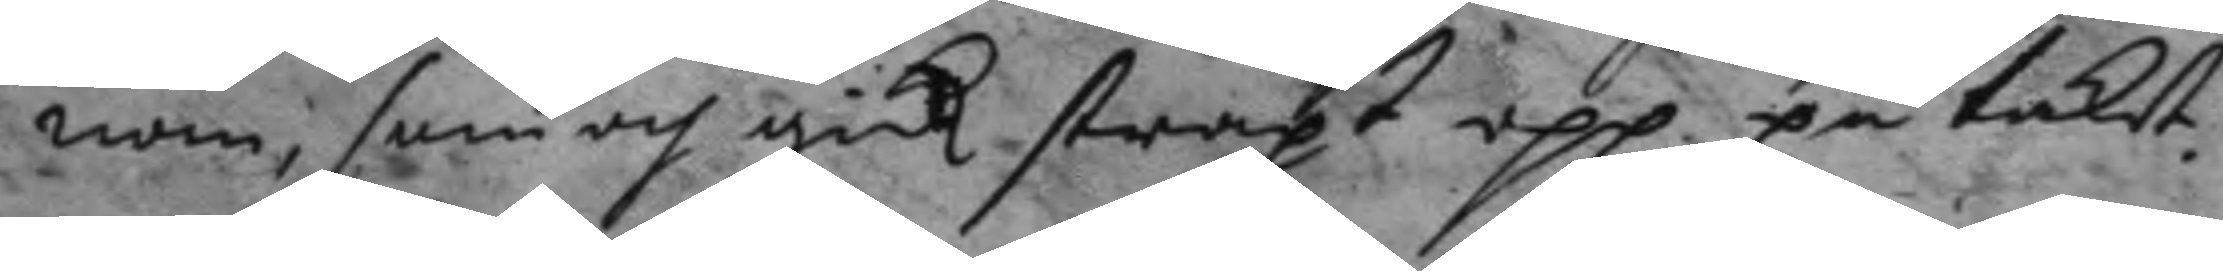nom, som och gick straxt upp på taket
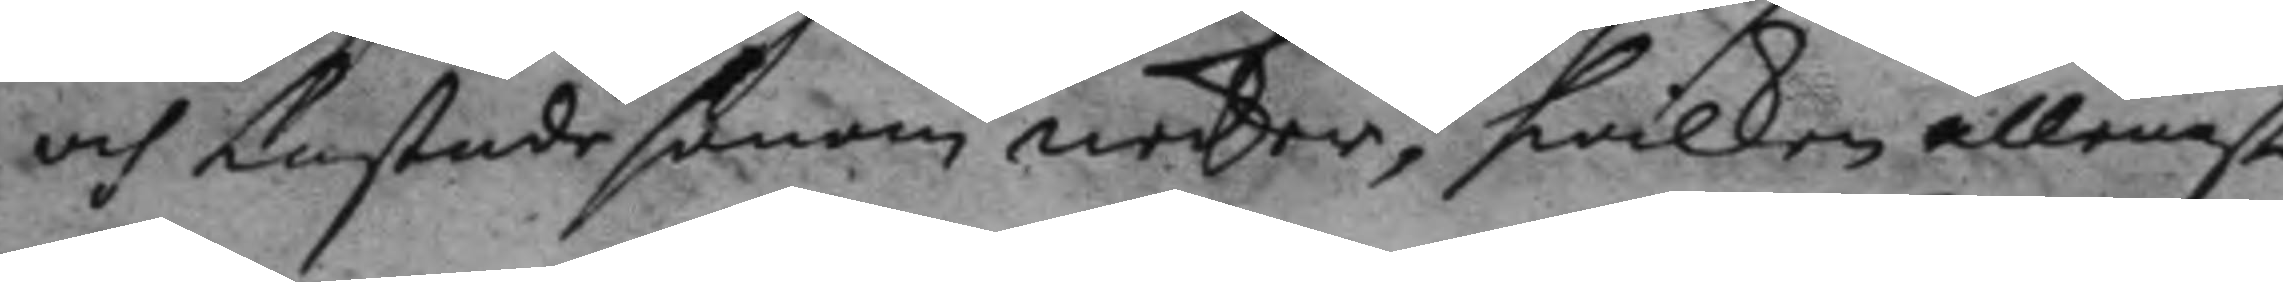och kastade honom neder, hwilken allenast
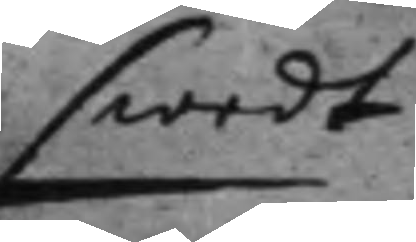swedt
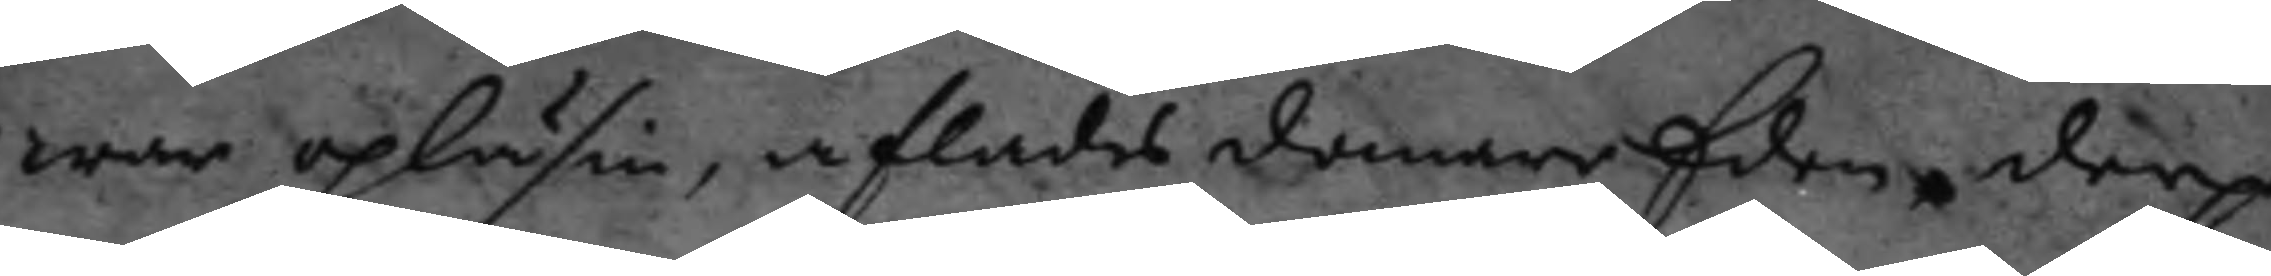war upläsin, aflades domareEden derpå
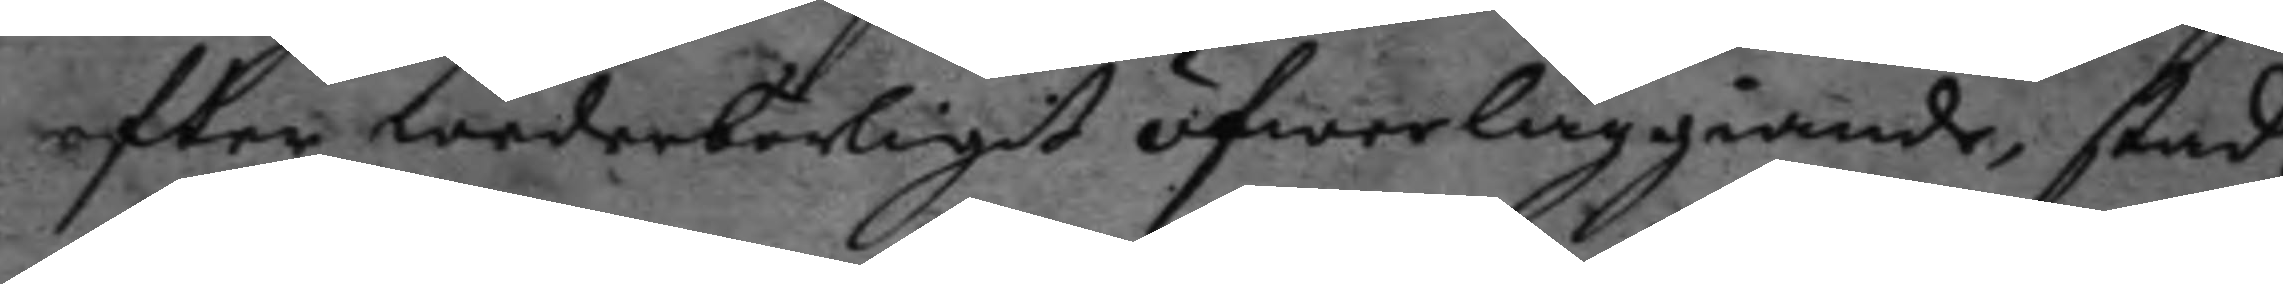efter wederbrligit öfwerläggiande, stad¬
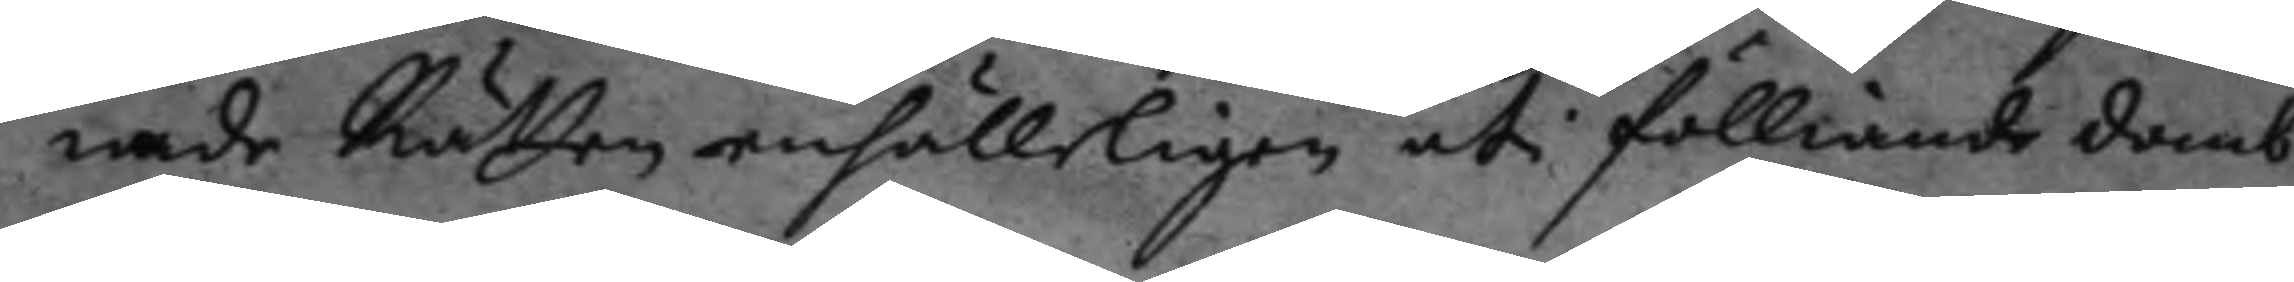nade Rtten enhlleligen uti fölliande domb.
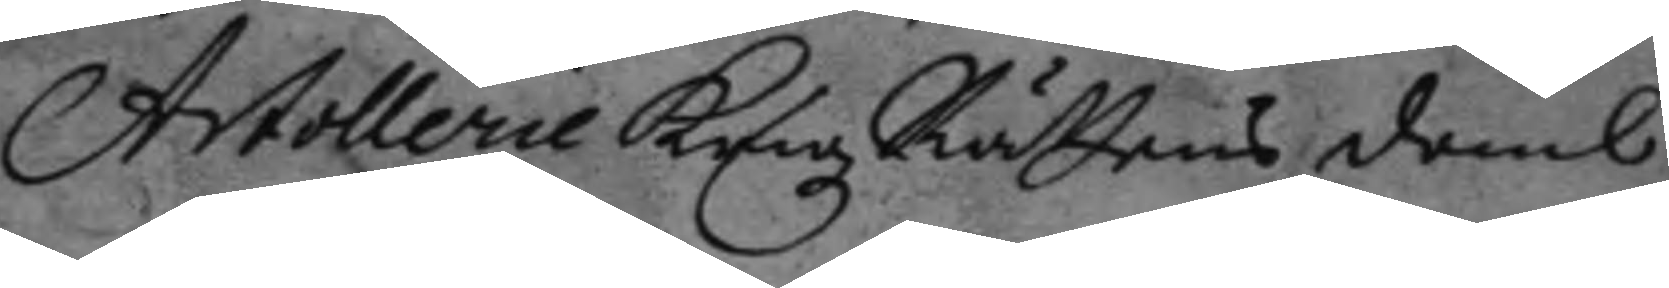Artollerie Krigz Rättens domb
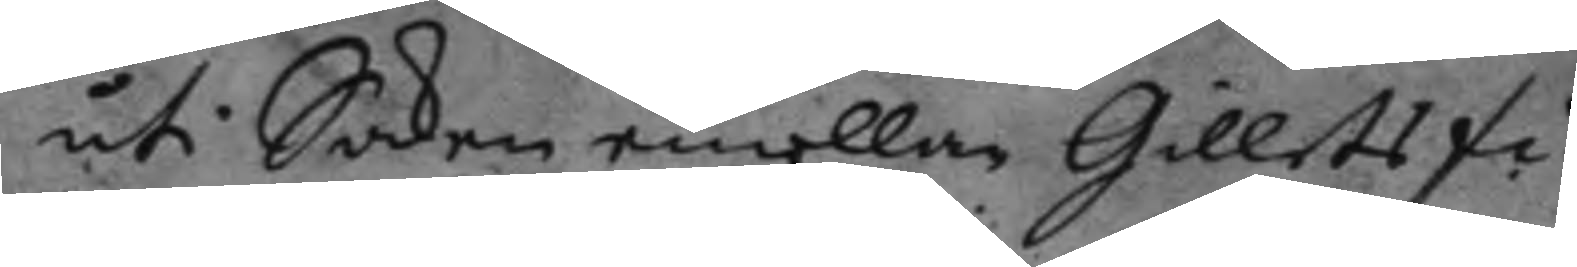uti Saken emellan Gillets fi¬
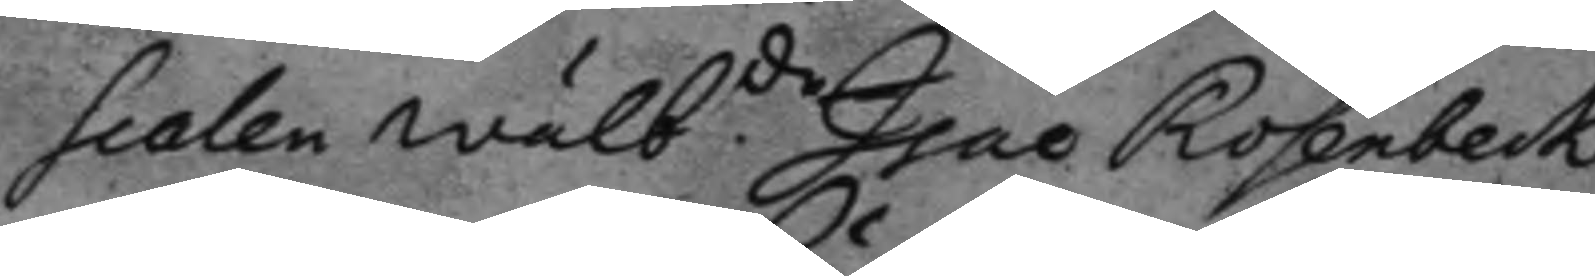scalen wälb.de Isac Rosenbeck
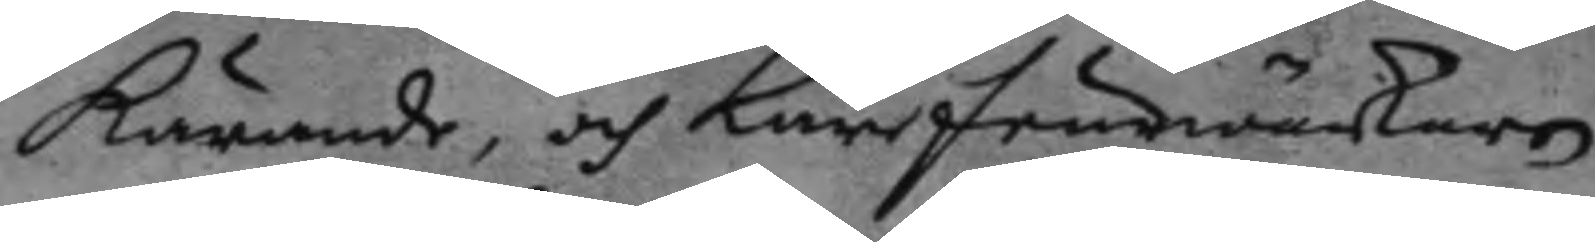kärande, och Lärfeurwärkaren
